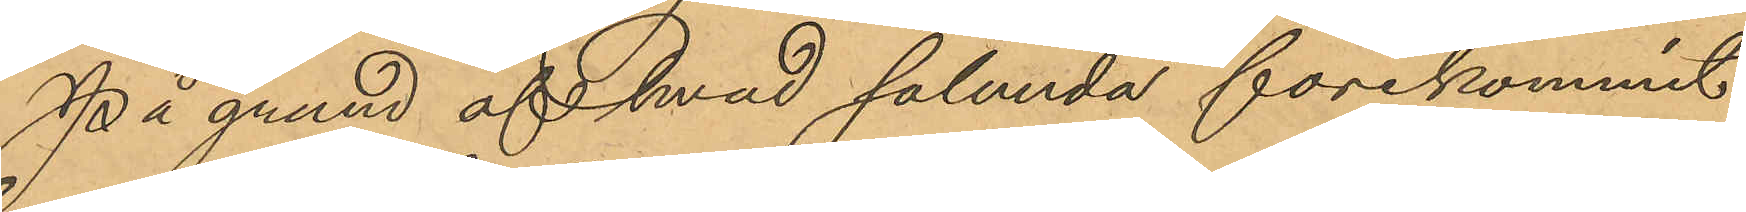På grund af hvad sålunda förekommit
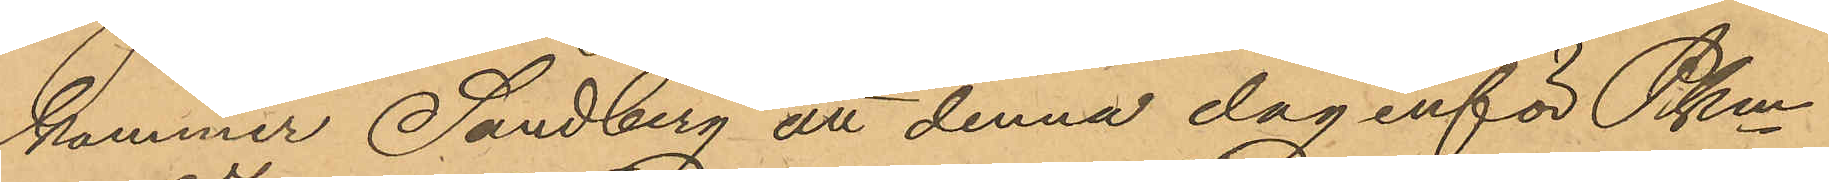kommer Sandberg att denna dag inför Pkm
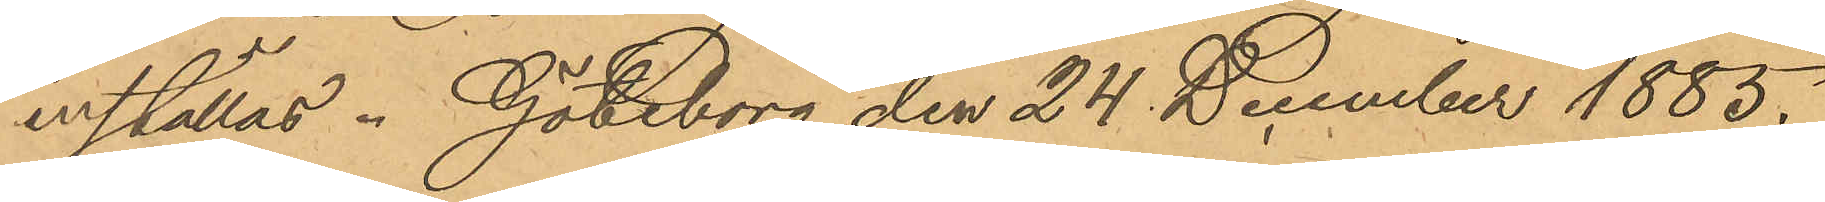inställas. Göteborg den 24 December 1885.
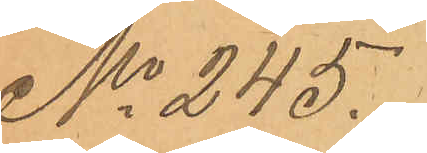No 245.
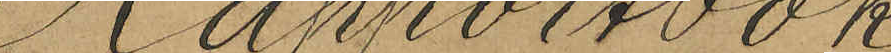Rapportbok
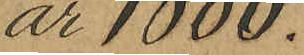år 1886.
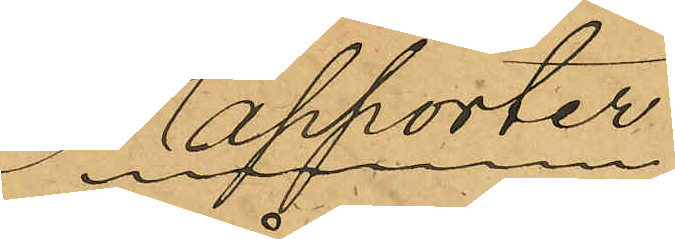Rapporter.
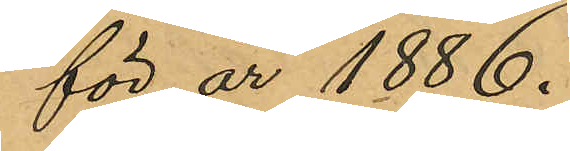för år 1886.
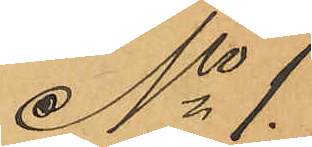No 1.
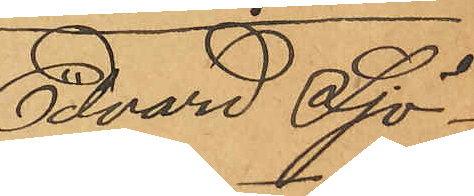Edvard Sjö¬
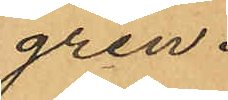gren.
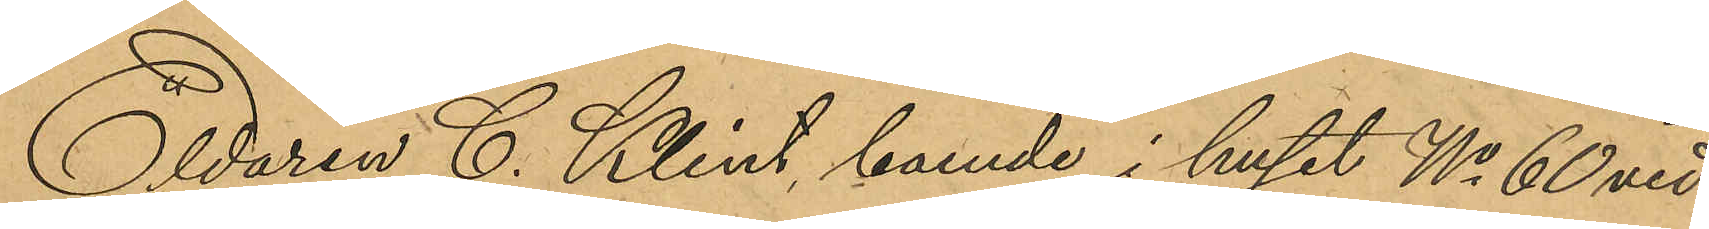Eldaren C. Klint, boende i huset No 60 vid
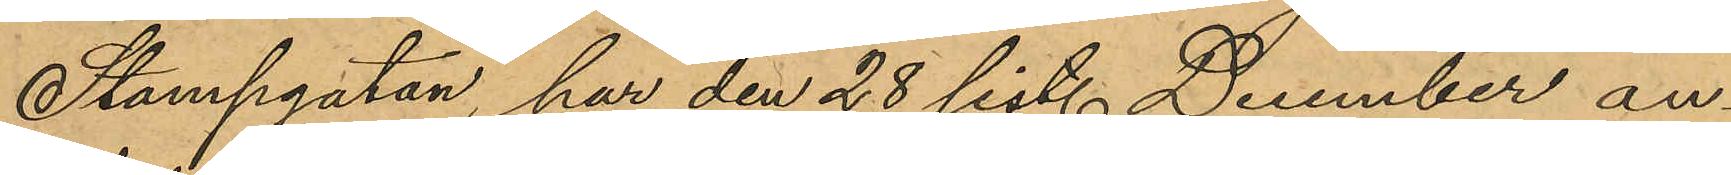Stampgatan, har den 28 sist. December an¬
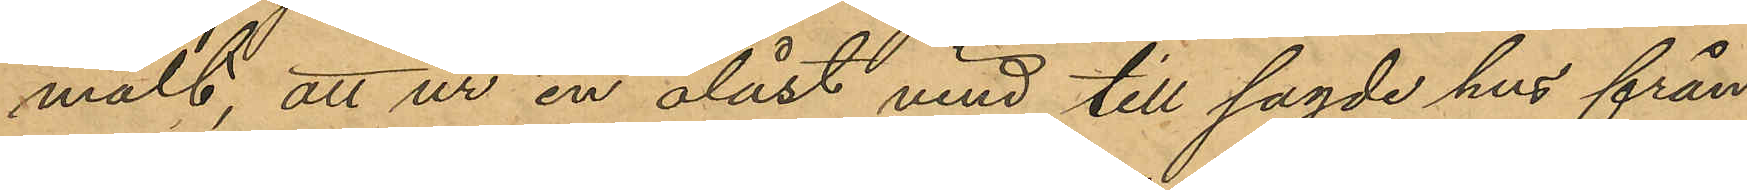mält, att ur en olåst vind till sagde hus från
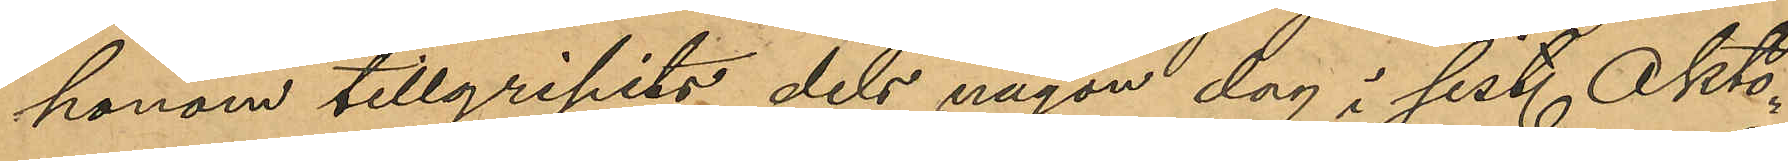honom tillgripits dels någon dag i sist. Okto¬
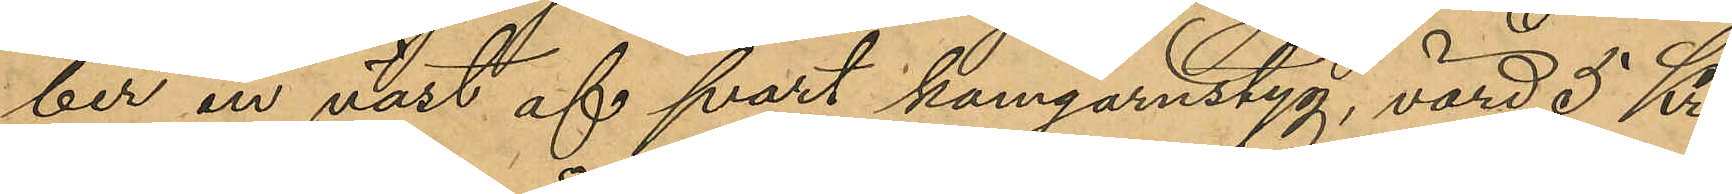ber en väst af svart kamgarnstyg, värd 5 Kr.
